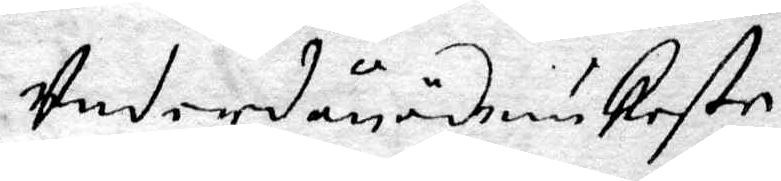Underdånödmiukeste
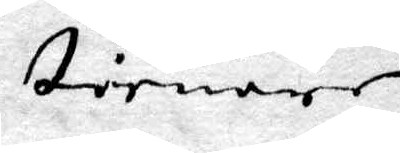tienare
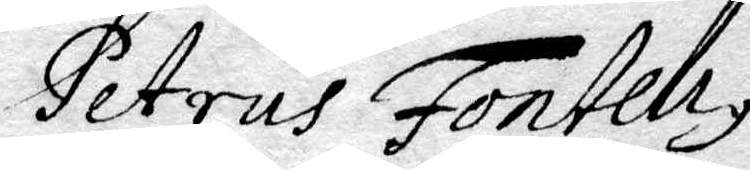Petrus Fonteliy
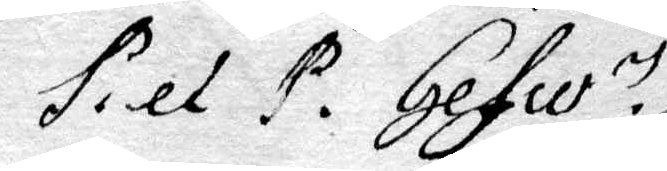P. et P. Gefle
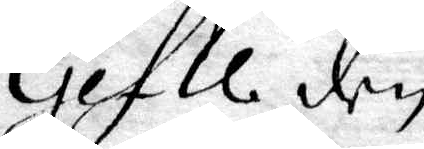Gefle den
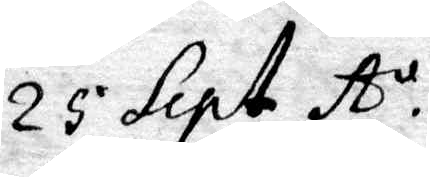23 Sept. A:o.
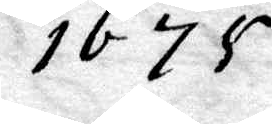1675
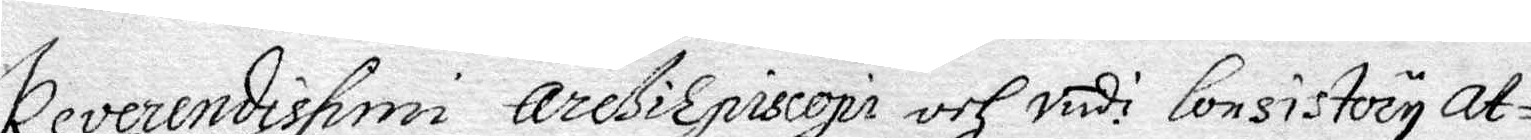Reverendispmi areßiEpiscopi och vedi: Consistoriy at¬
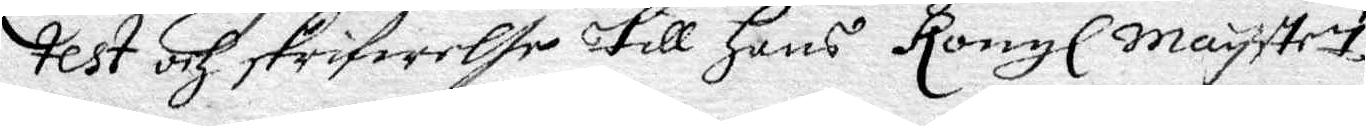test och skrifwelse till Hans Kongl. Mayttes
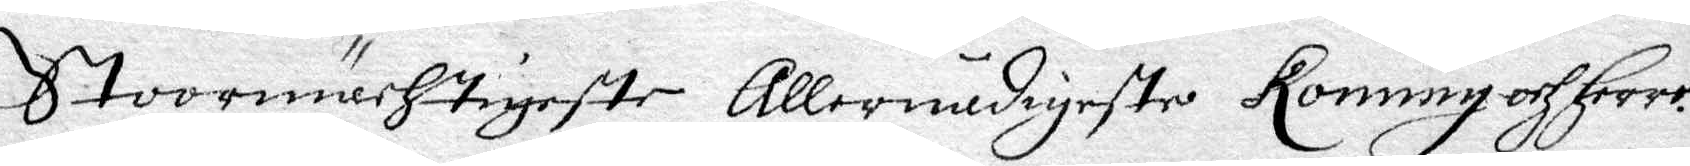Stoormächtigeste allernådigeste Konung och Herre.
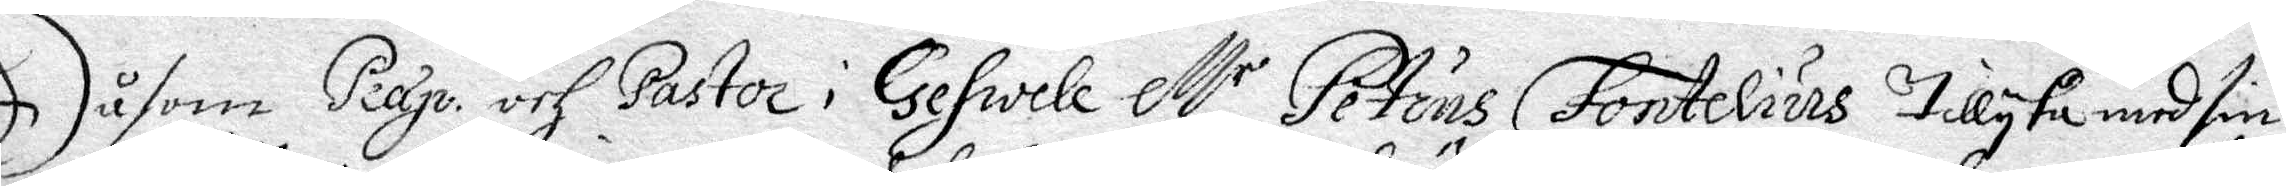Såsom Peap. och Pastor i Gefwele M:r Petrus Fontelius tillyka med sin
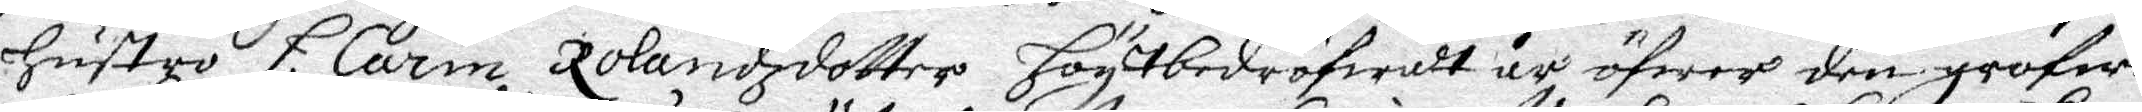Hustru H. Carin Rolandzdotter högtbedröfwadt är öfwer den grofwe
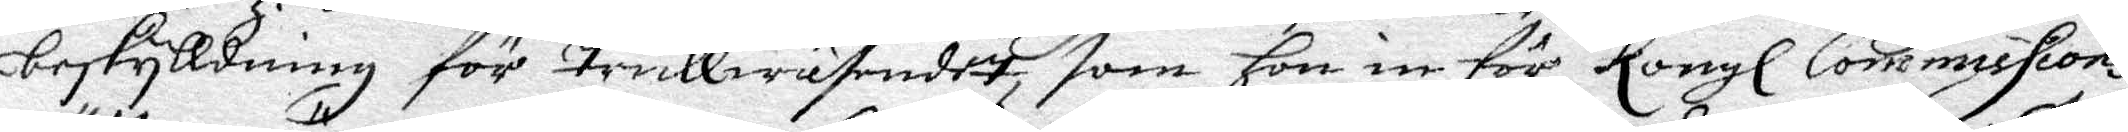beskylldning för trullwäsendet, som hon in för Kongl. Commissions¬
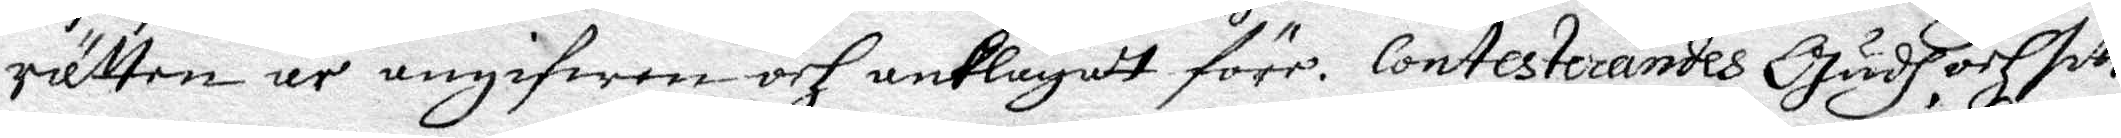rätten är angifwen och anklagatt före. Contesterandes Gudh och sitt
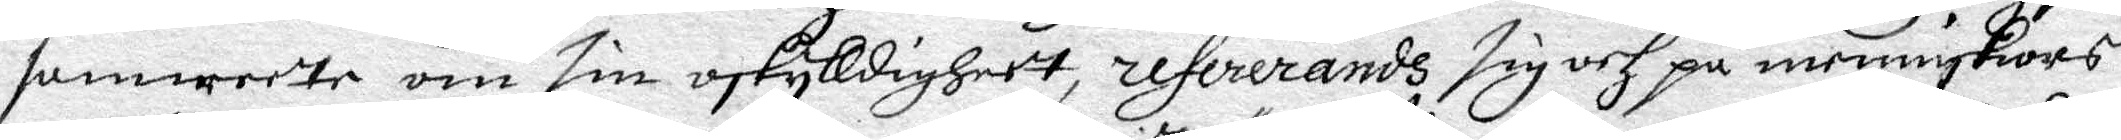samweette om sin oskylldigheet, refererandh sig och på menniskiors
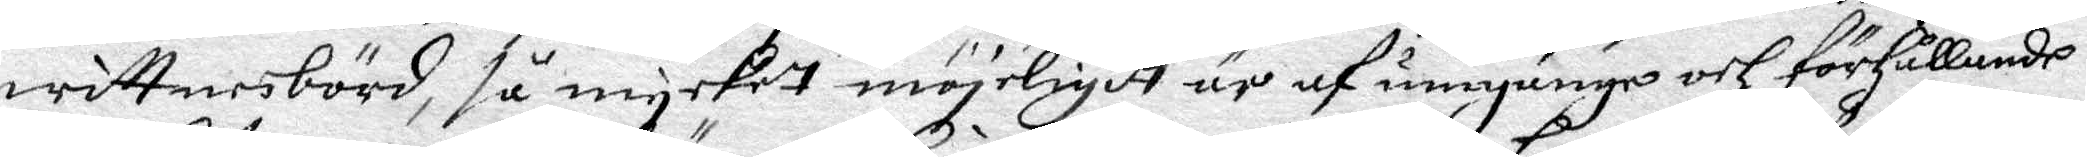wittnebörd, så mycket möjeligit är af umgängo och förhållande i
